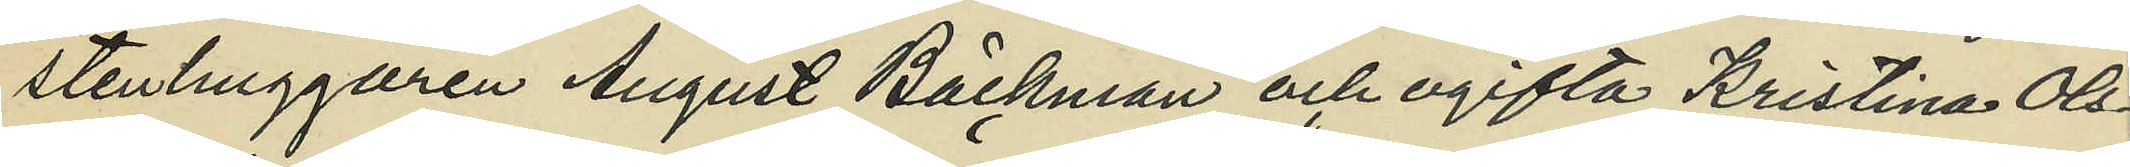stenhuggaren August Bäckman och ogifta Kristina Ols¬
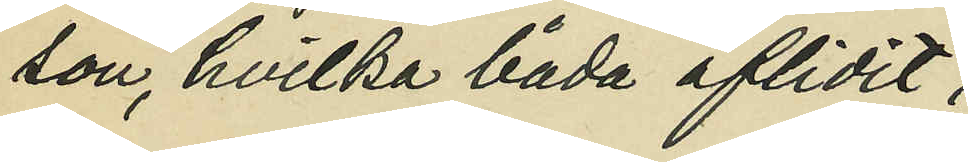son, hvilka båda aflidit;
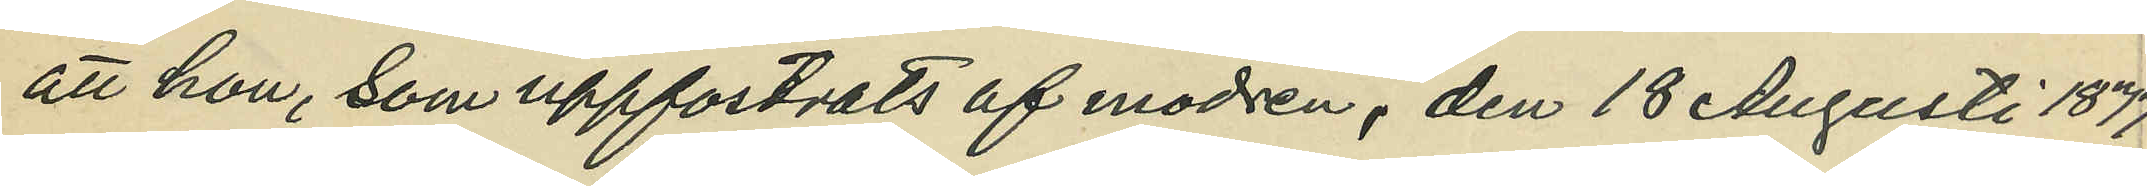att hon, som uppfostrats af modern, den 18 Augusti 1877
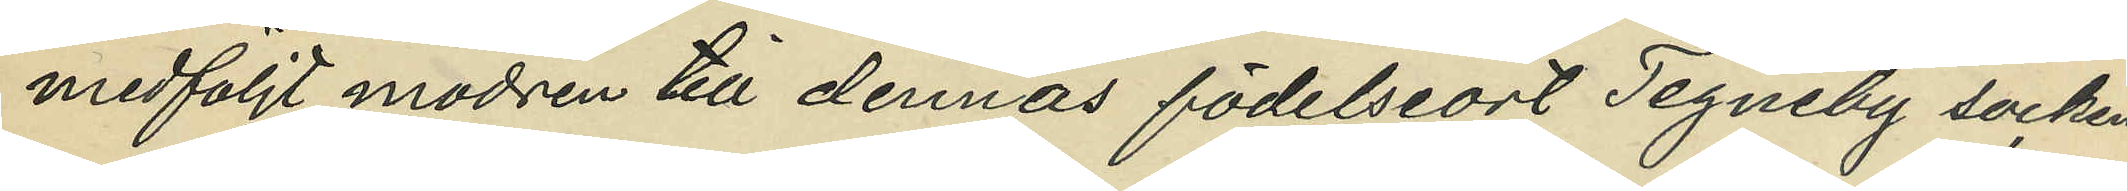medföljt modern till dennas födelseort Tegneby socken
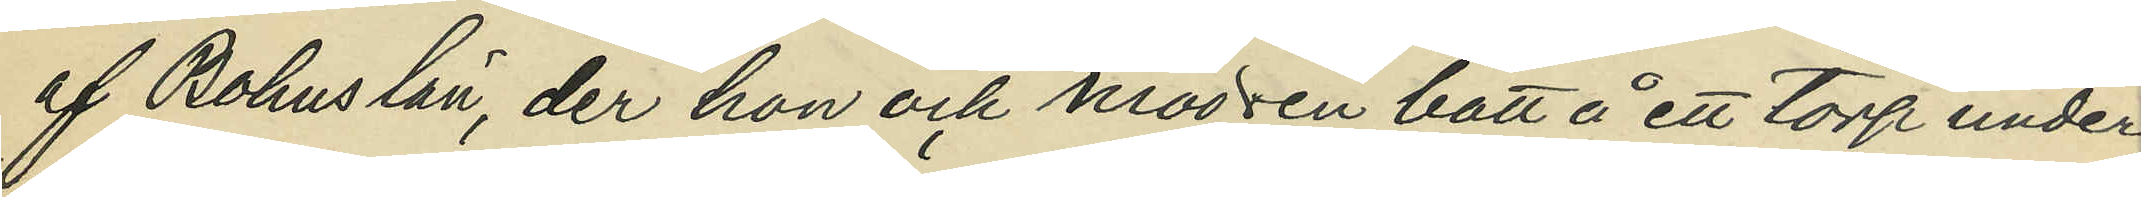af Bohus län, der hon och modern bott å ett torp under
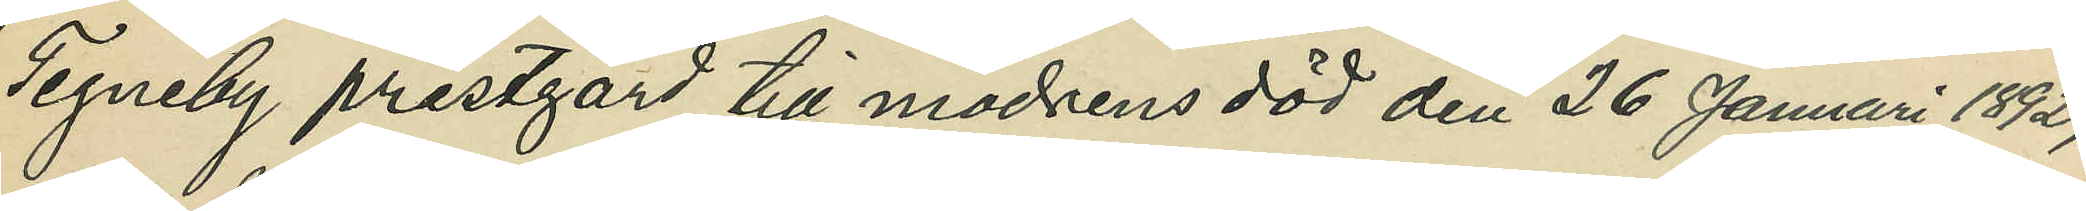Tegneby prestgård till moderns död den 26 Januari 1892;
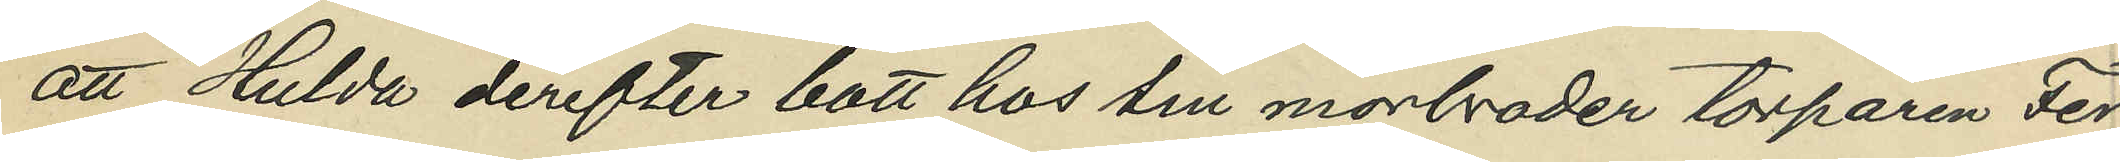att Hulda derefter bott hos sin morbroder torparen Fer¬
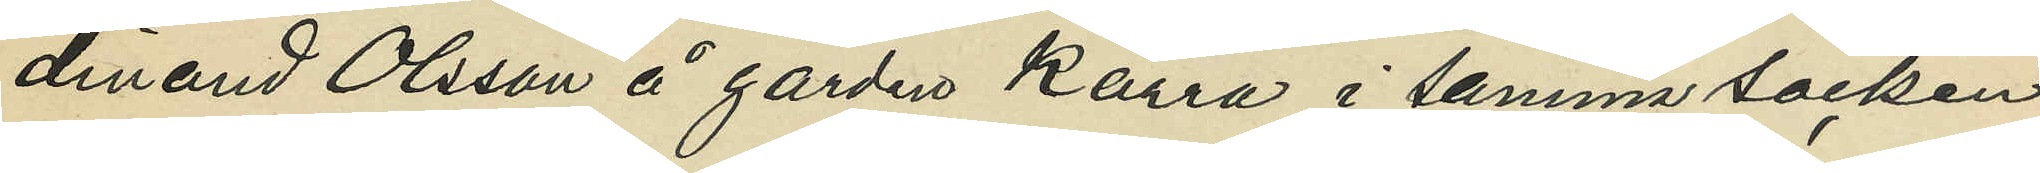dinand Olsson å gården Kärra i samma socken
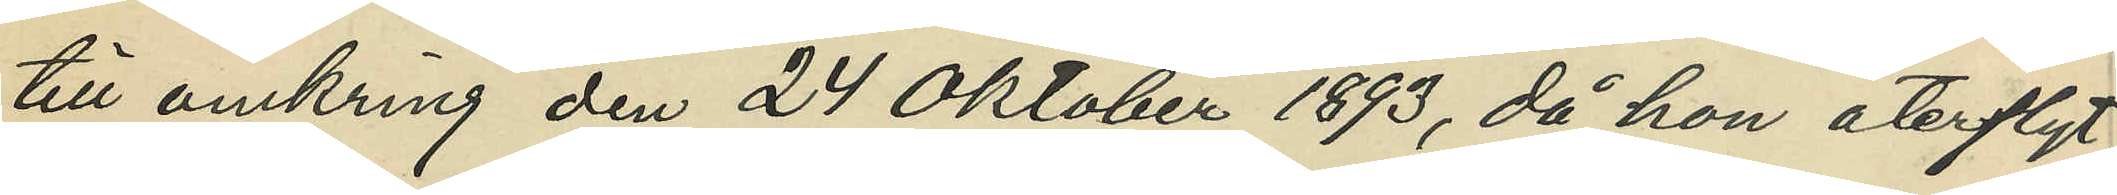till omkring den 24 Oktober 1893, då hon återflyt¬
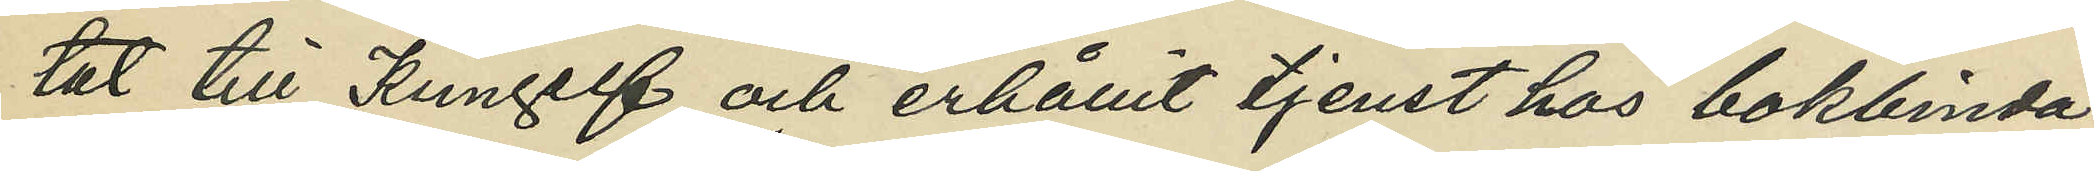tat till Kungelf och erhållit tjenst hos bokbinda¬
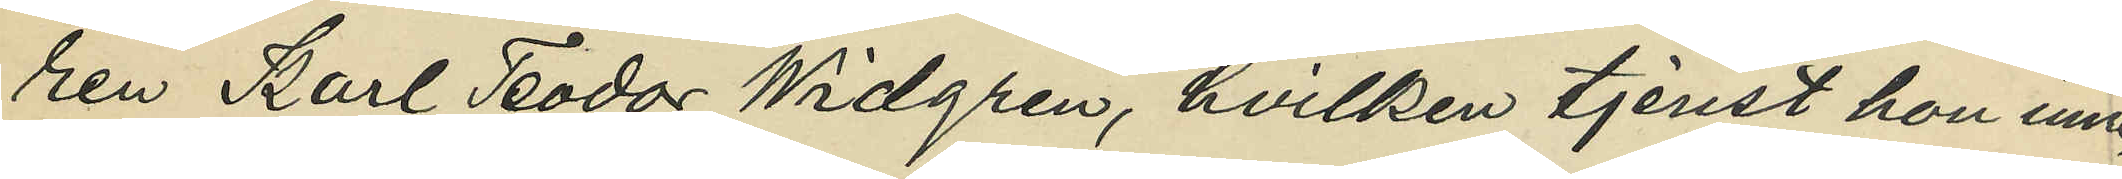ren Karl Teodor Widgren, hvilken tjenst hon inne¬
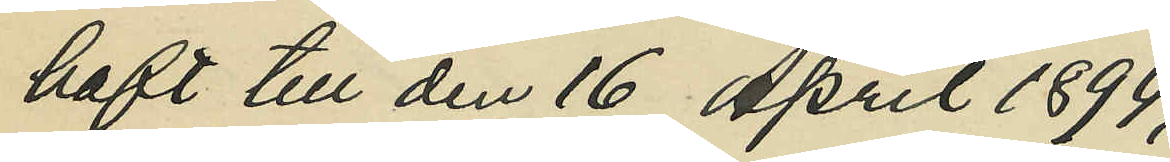haft till den 16 April 1894;
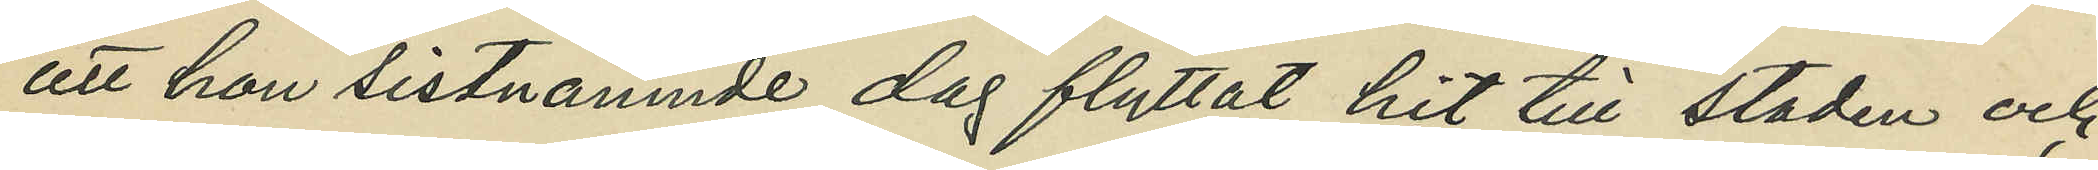att hon sistnämnde dag flyttat hit till staden och
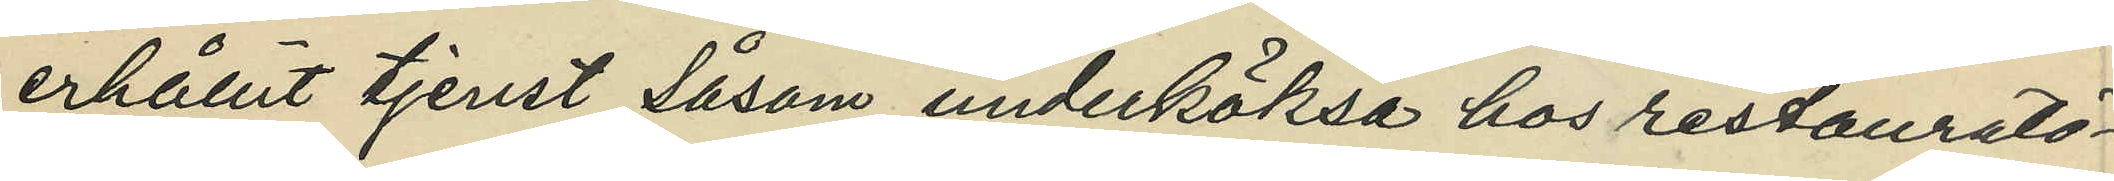erhållit tjenst såsom underköksa hos restauratö¬
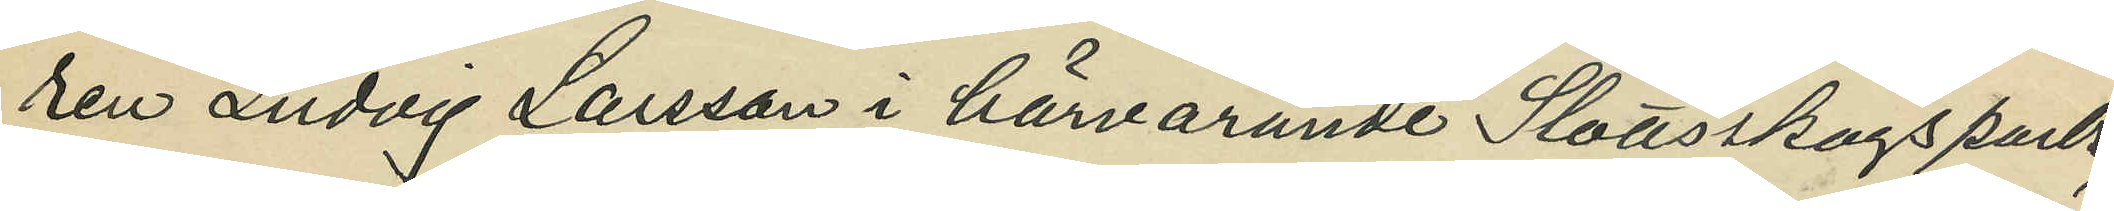ren Ludvig Larsson i härvarande Slottskogspark,
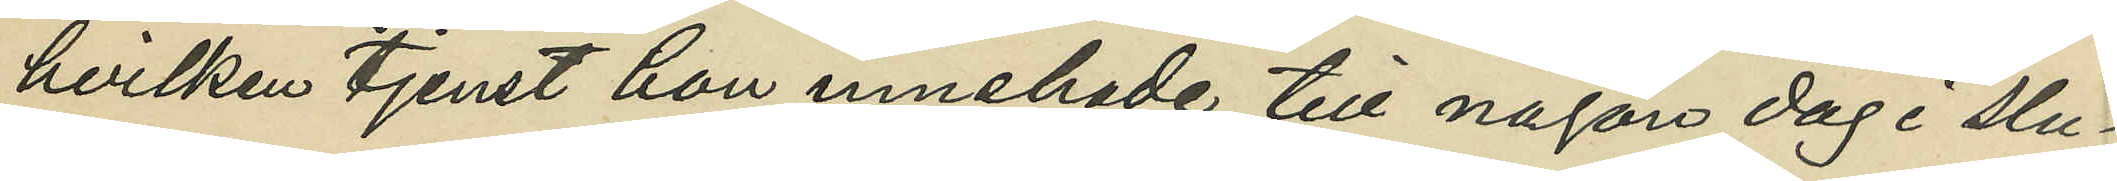hvilken tjenst hon innehade till någon dag i slu¬
